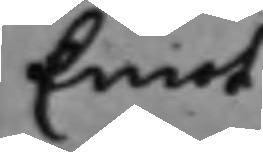Emot
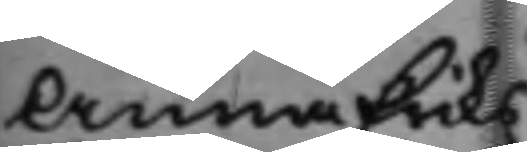Anna Eriks¬
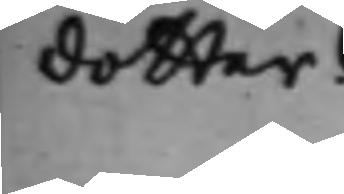dotter.
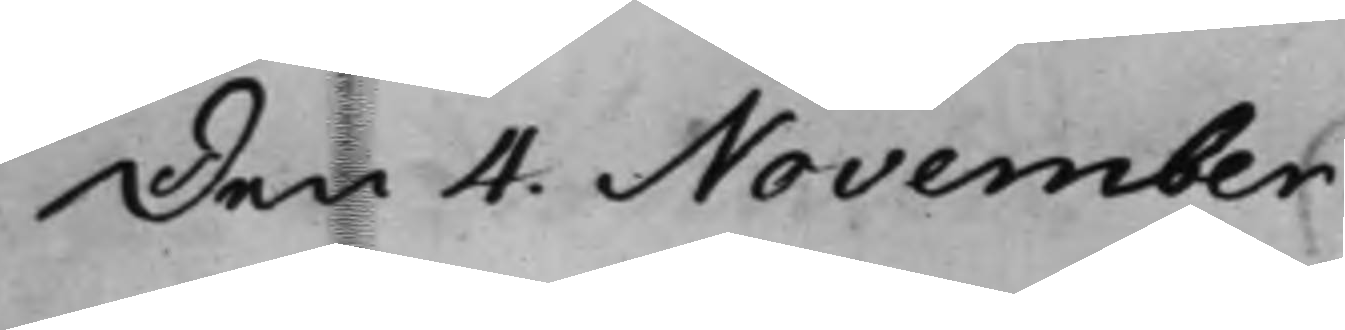Den 4 November
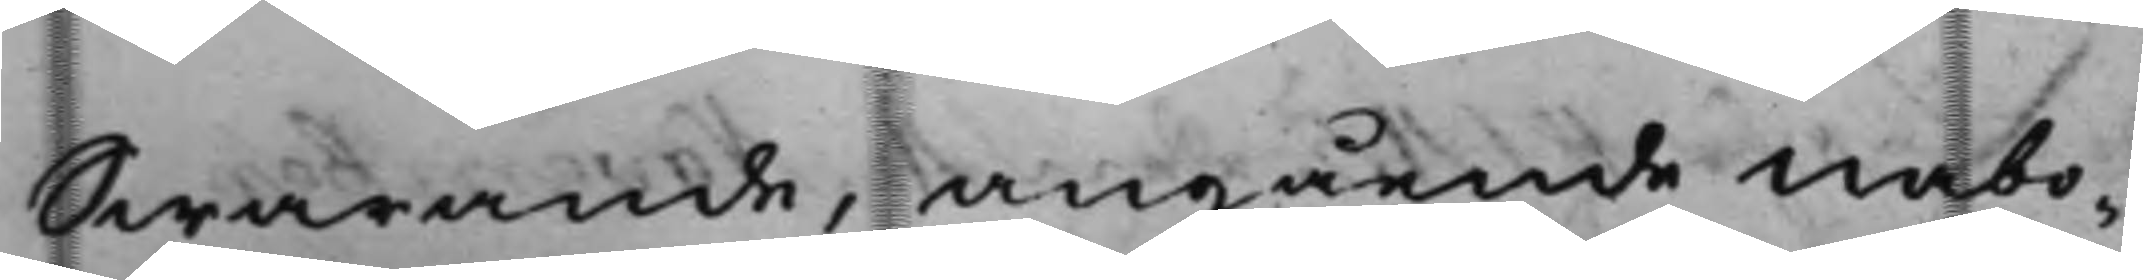Swarande, angående nabo¬
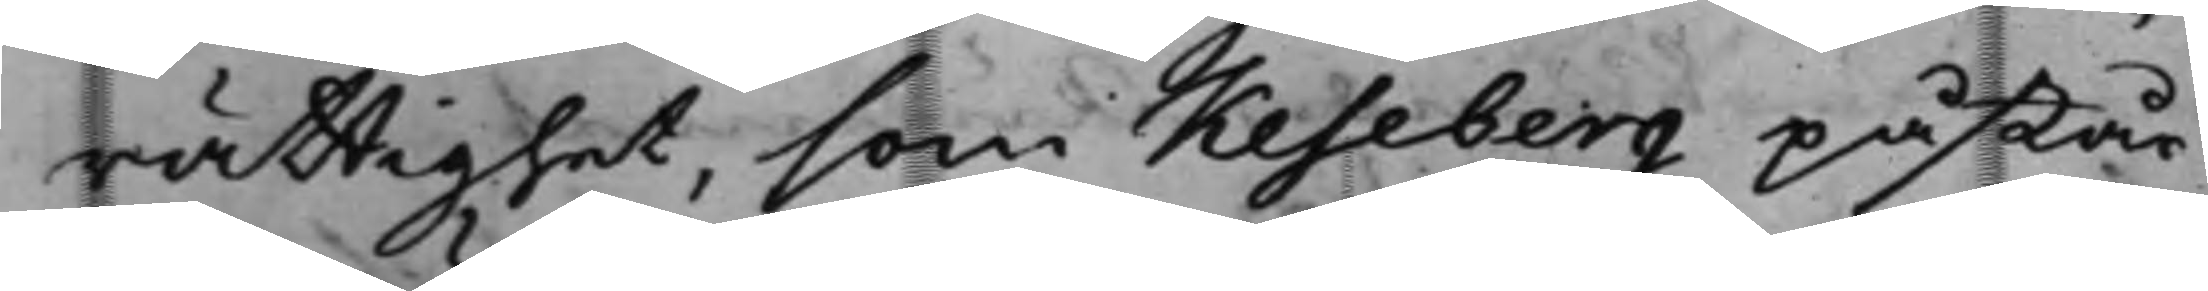rättighet, som Keseberg påstår
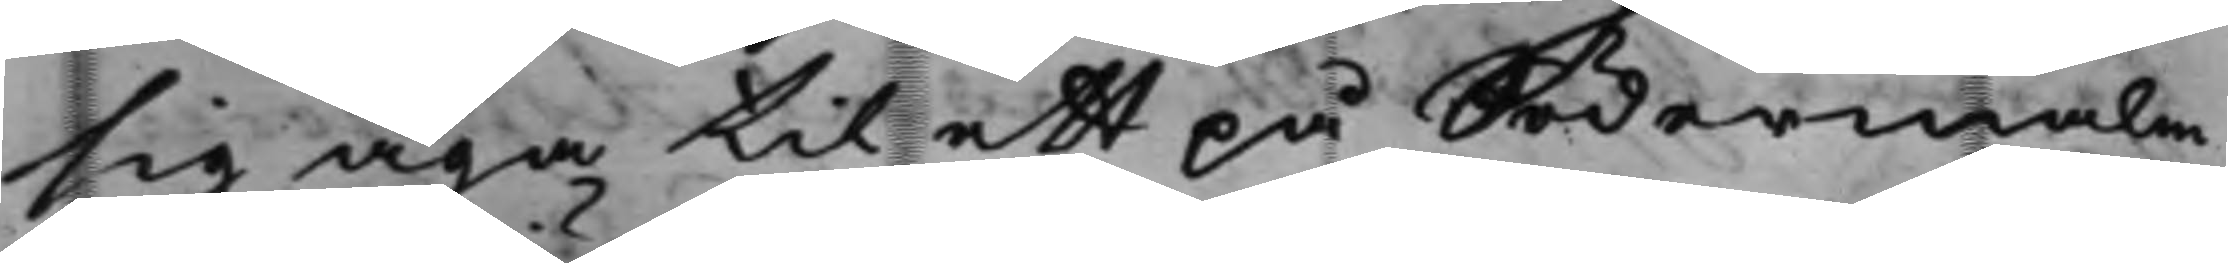sig äga til ett på Södermalm
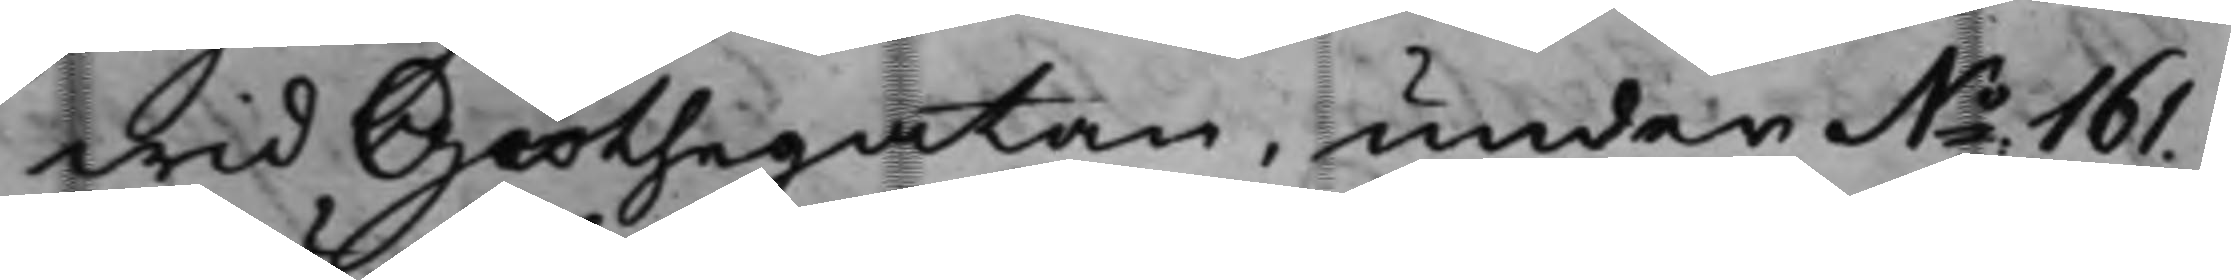wid Giöthegatan, under N:o 161.
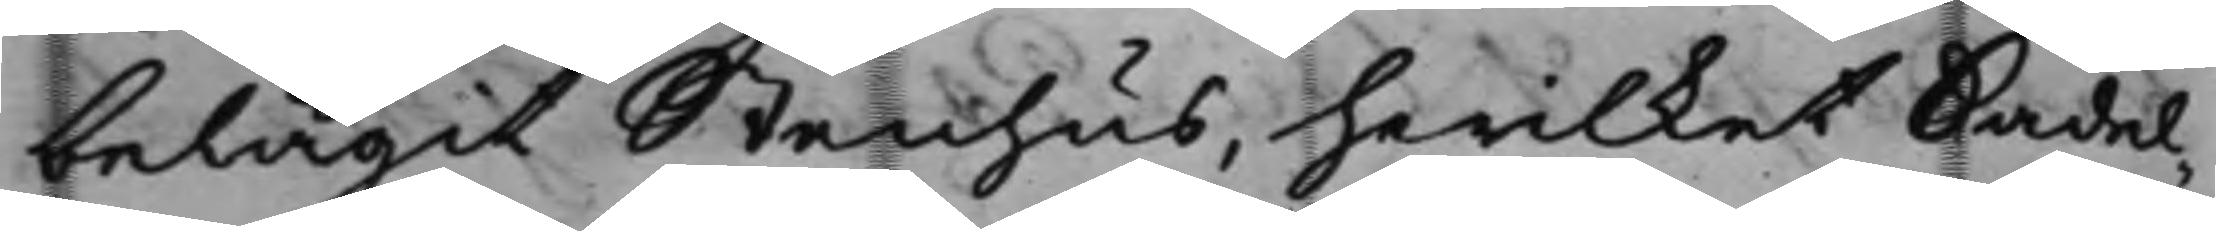belägit Stenhus, hwilket Sadel¬
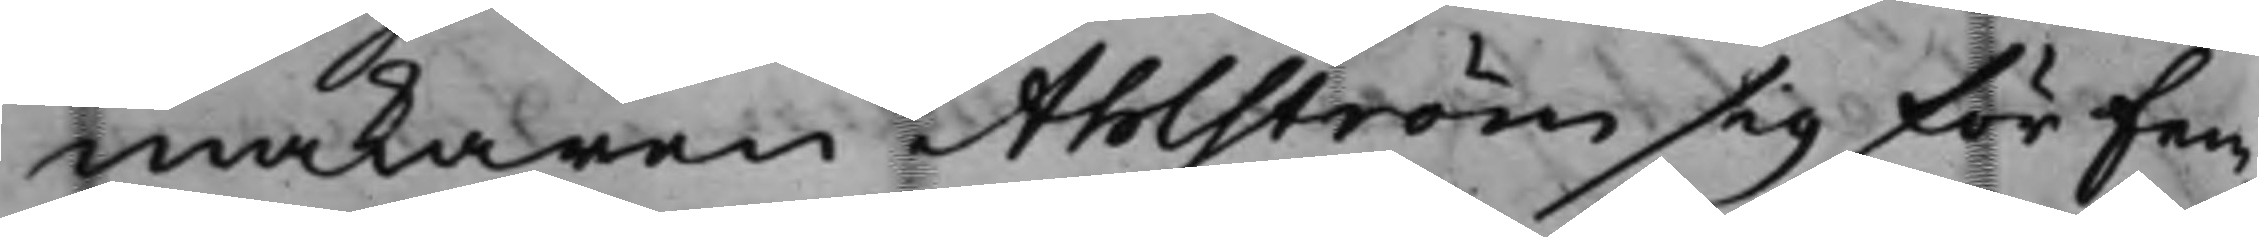makaren Ahlström sig för fem¬
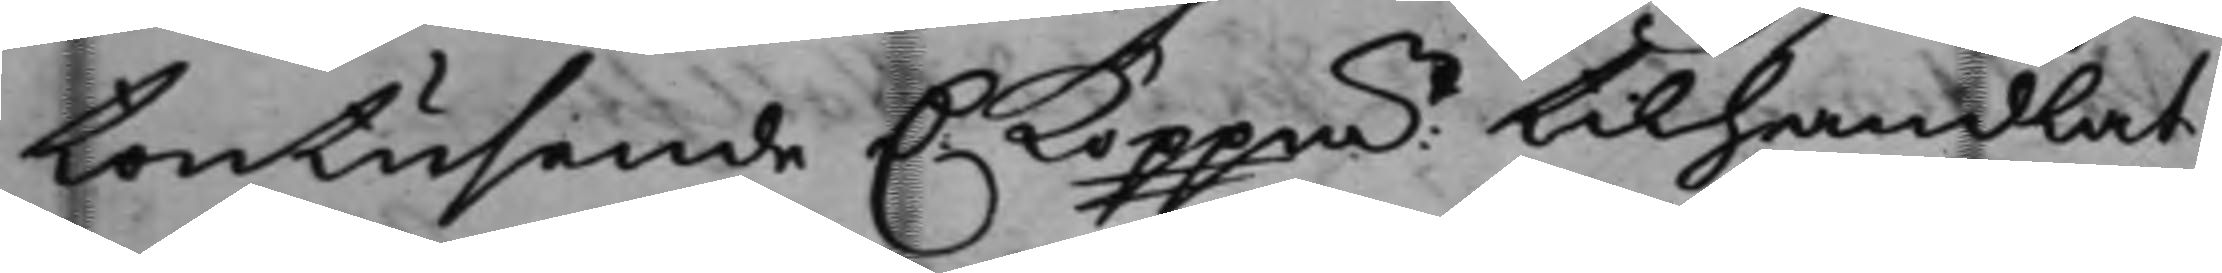tontusende D. Koppmt tilhandlat
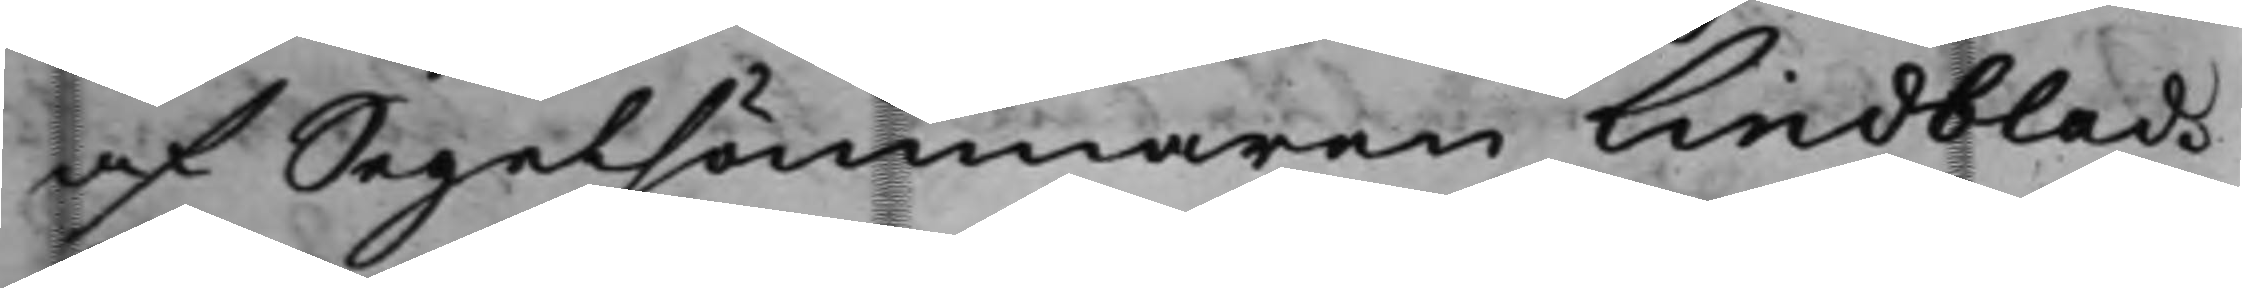af Segelsömmaren Lindblad.
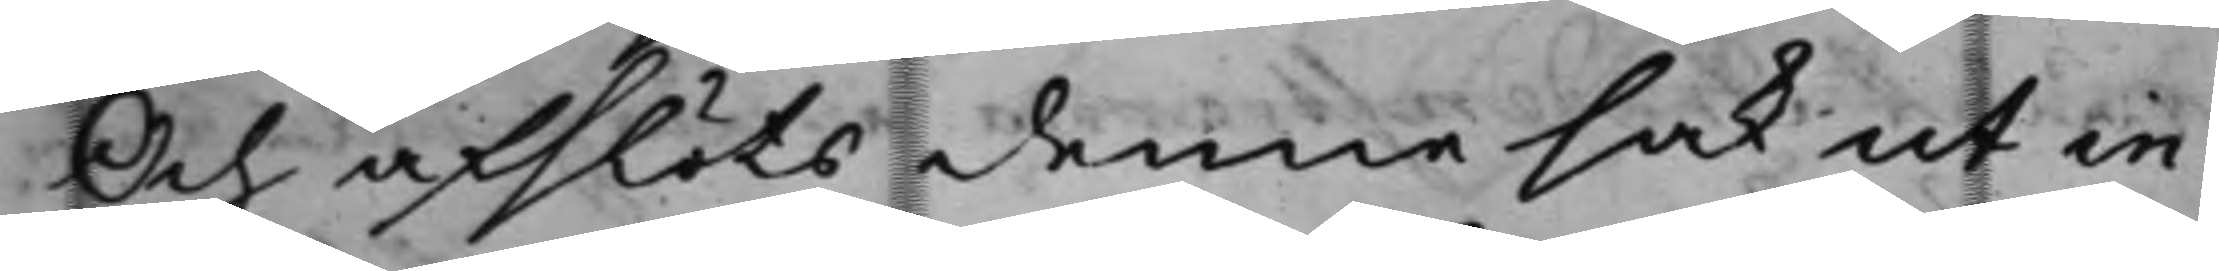Och afslöts denna sak ut in
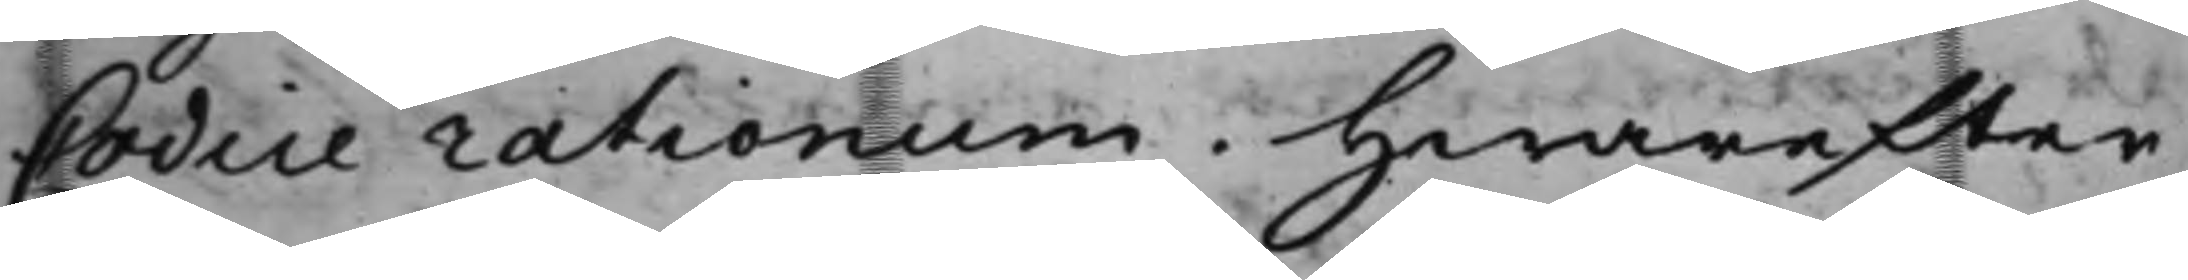Codice rationum. Hwarefter
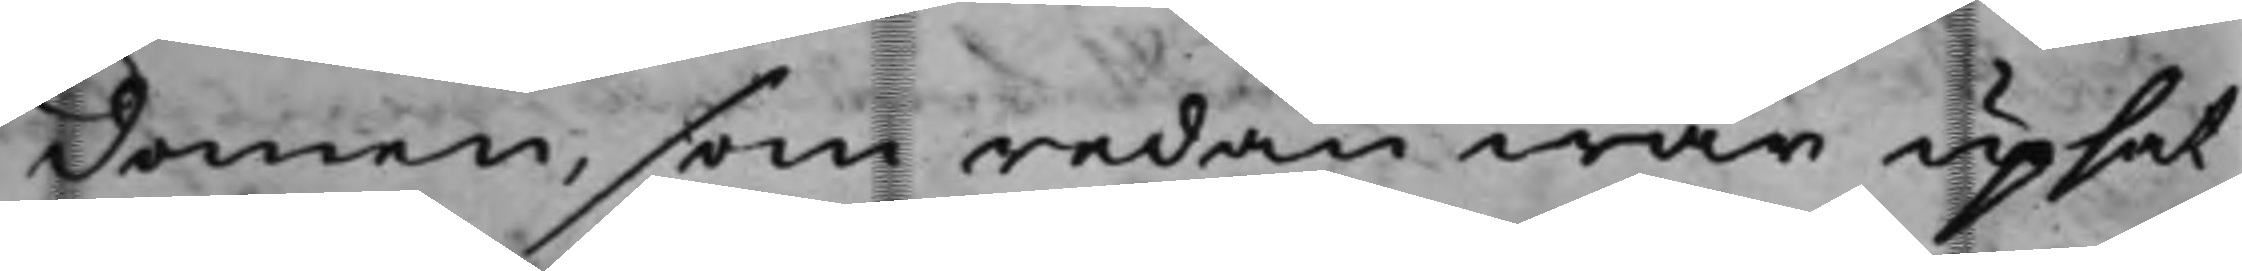domen, som redan war upsat
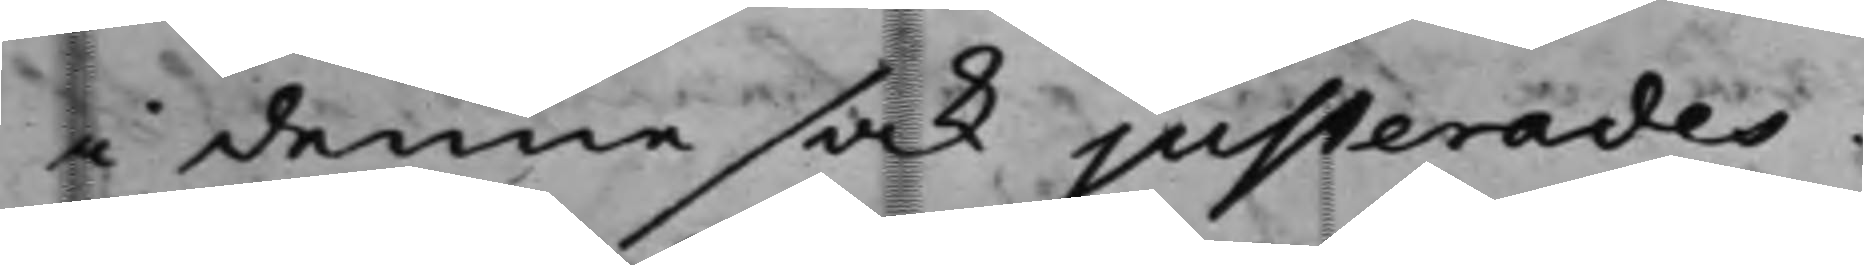i denna sak justerades.
